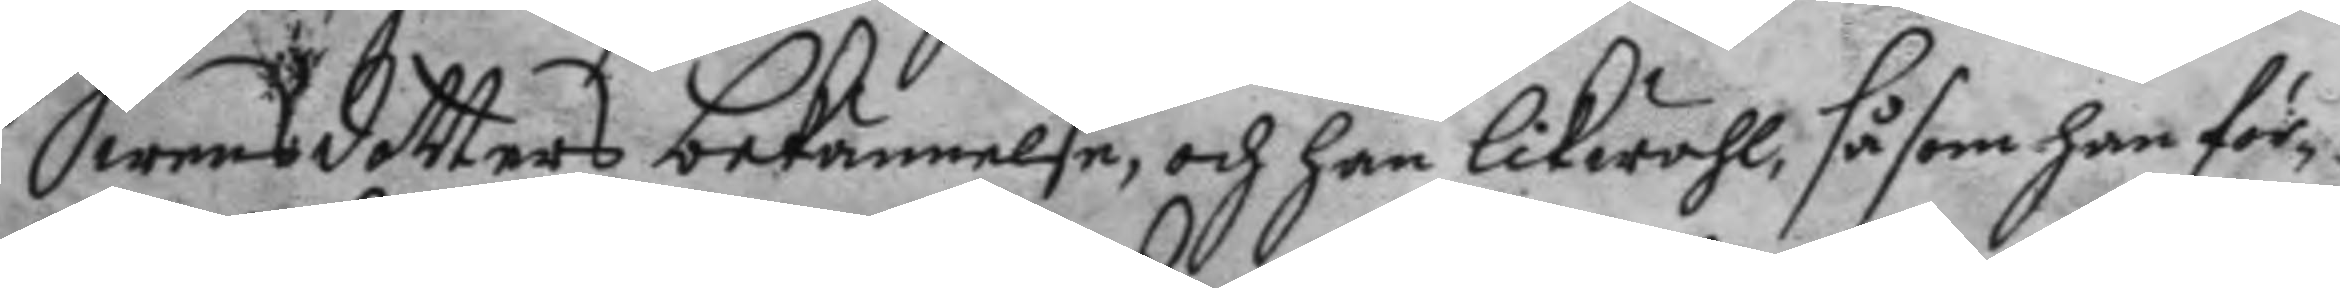Swensdotters bekännelse, och han likwähl, såsom han för,
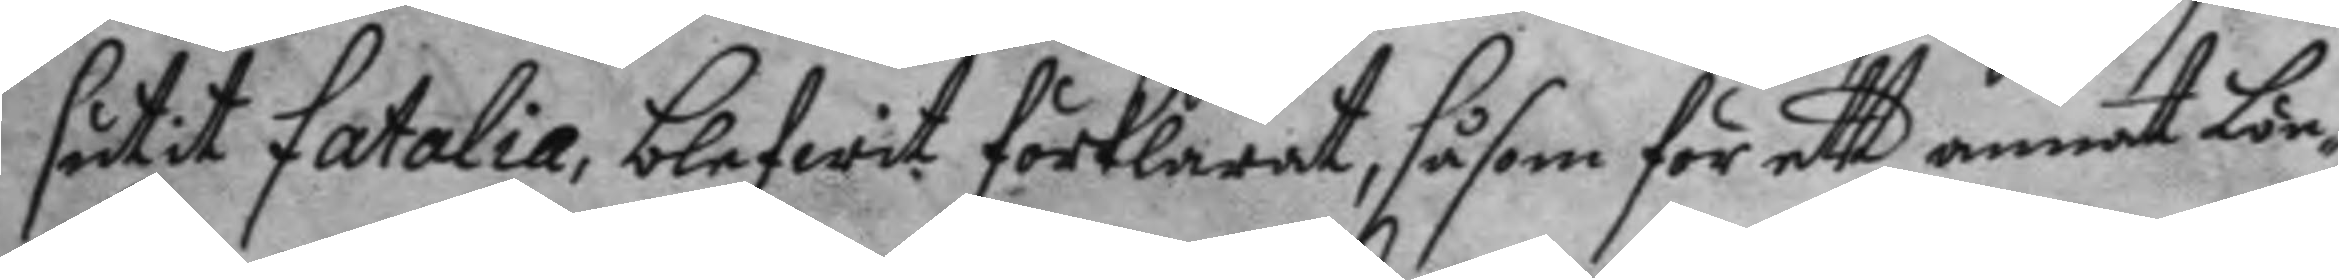såtit fatalia, blefwit förlarat, såsom för ett annat Lön¬
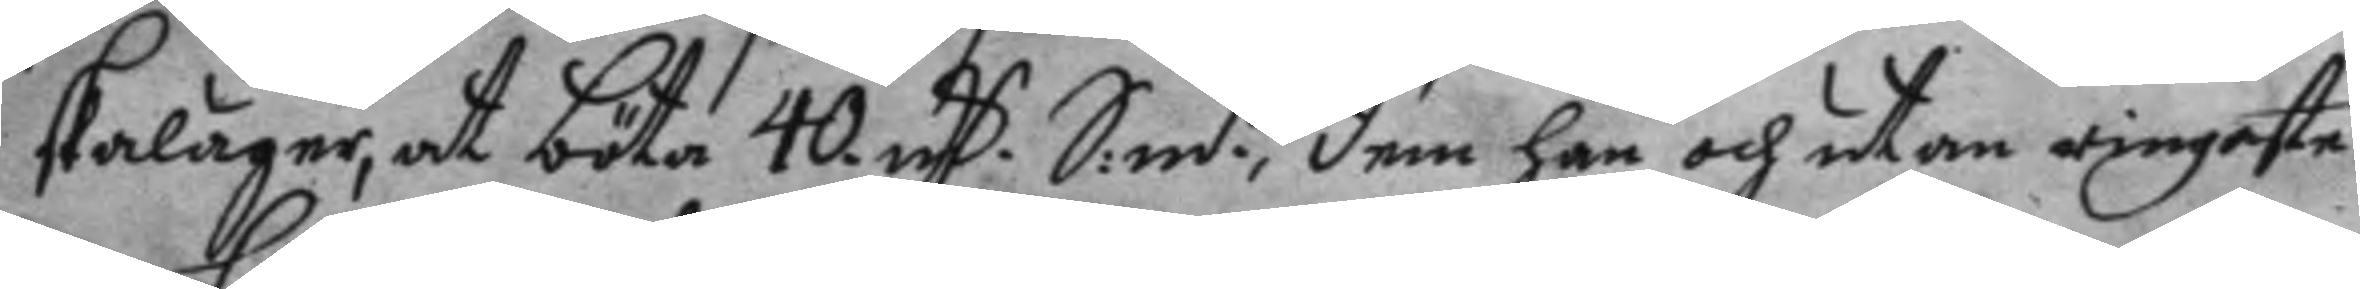skaläger, at böta 40 mC S.mt., dem han och utan ringaste
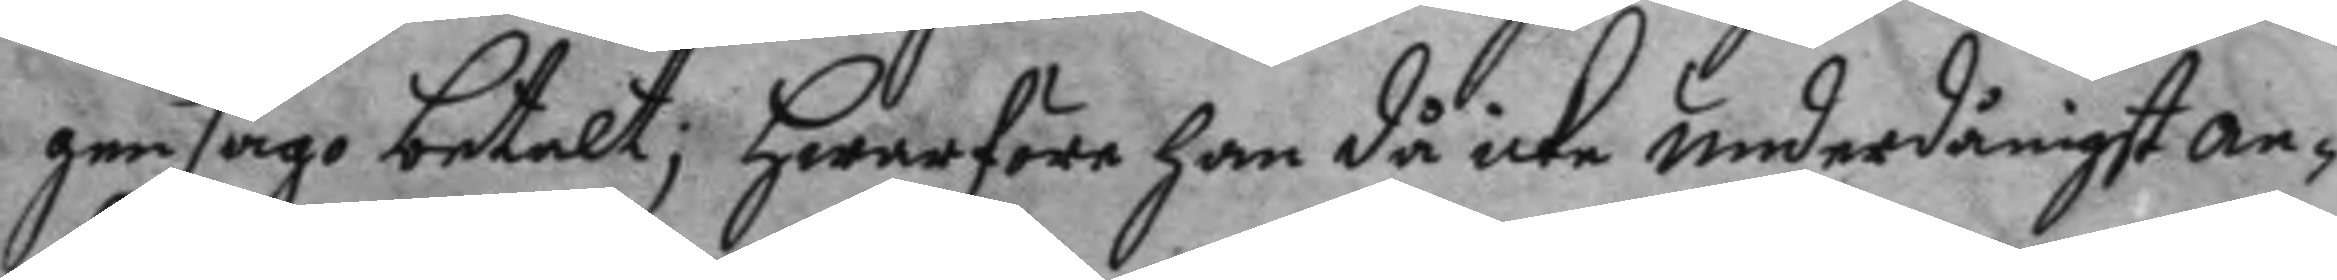gensago betalt; hwarföre han då icke underdånigst an¬
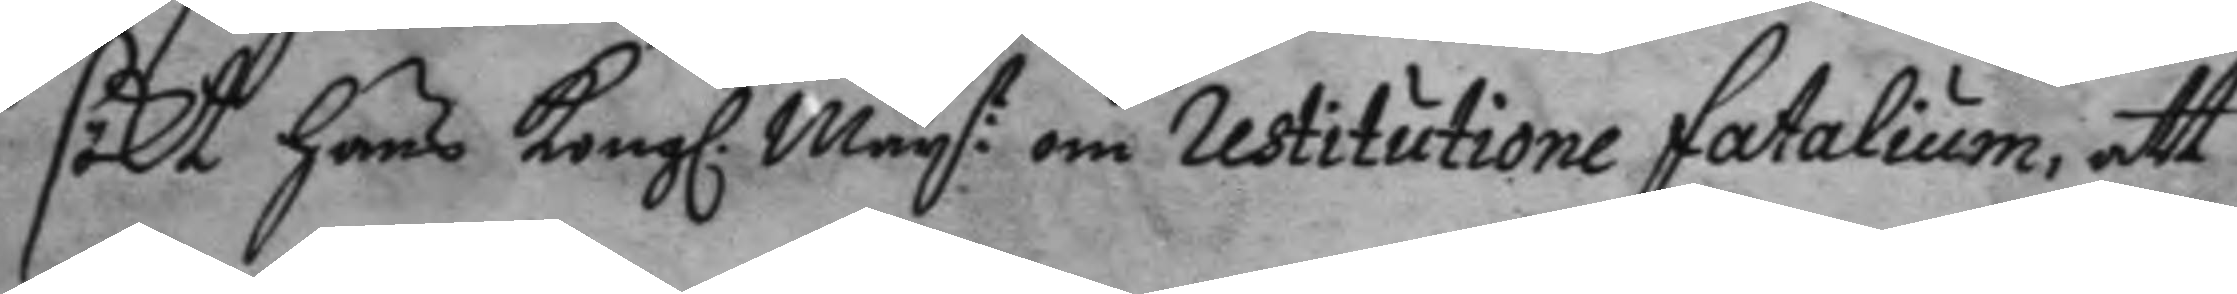sökt hans Kongl. May:t om restitutione fatalium, att
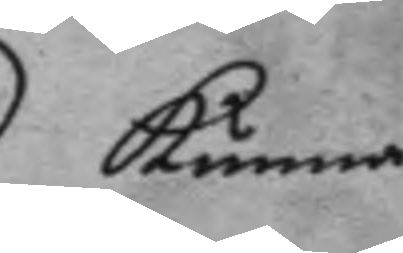kunna
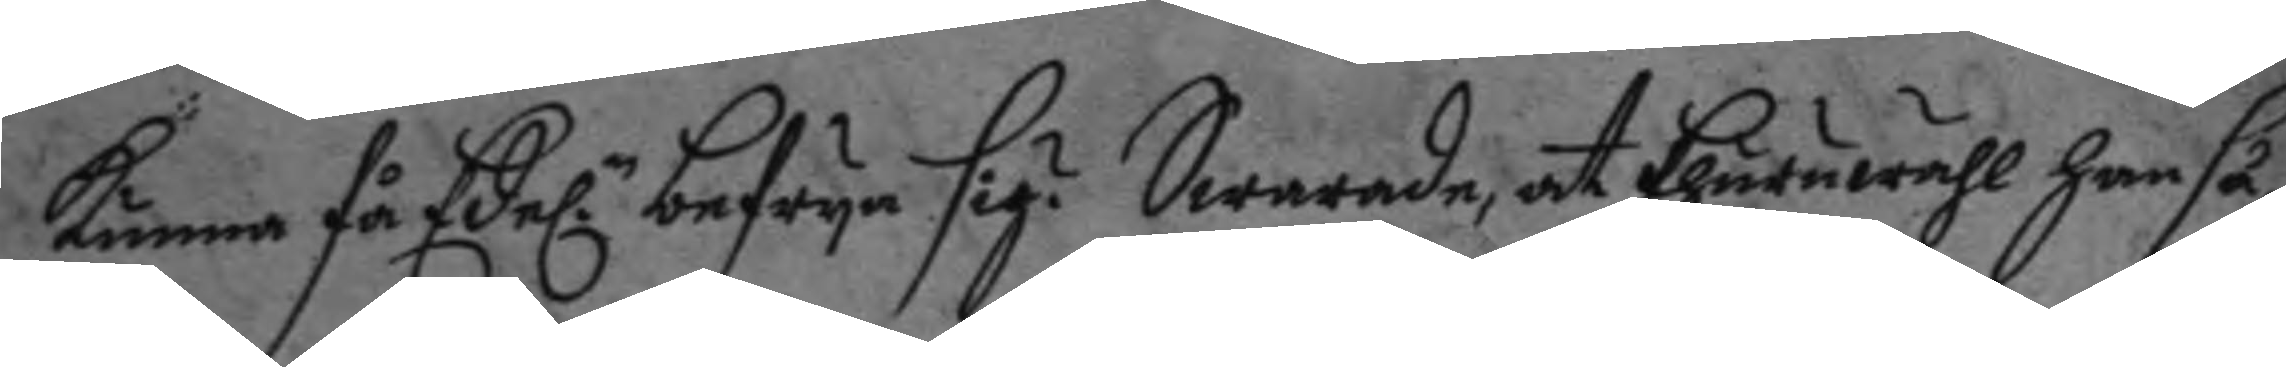kunna få Edel.n befrya sig? Swarade, at Ehuruwähl han så
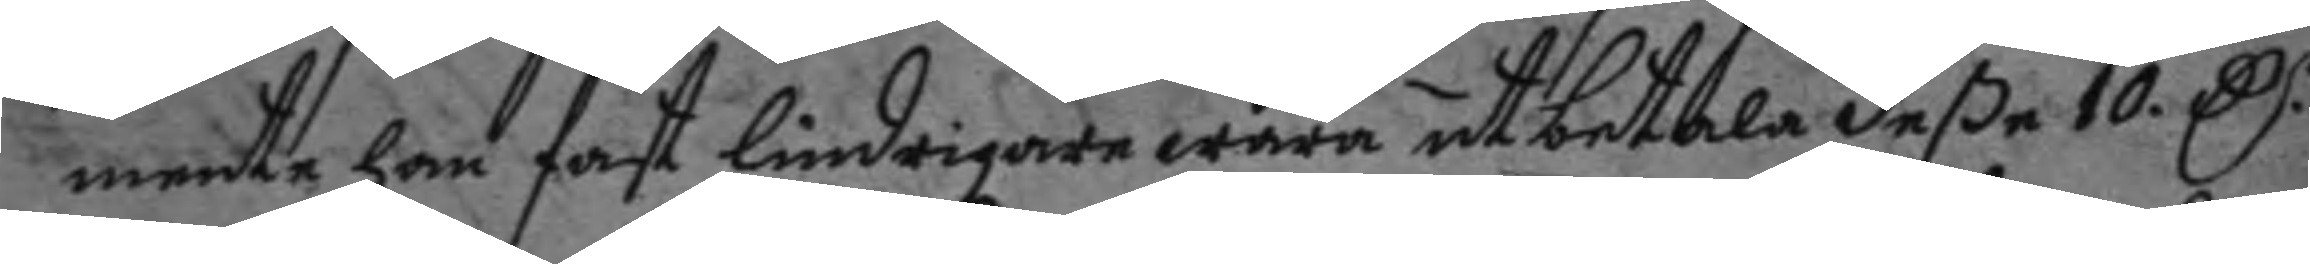mente han fast lindrigare wara at betala deße 10.C.r
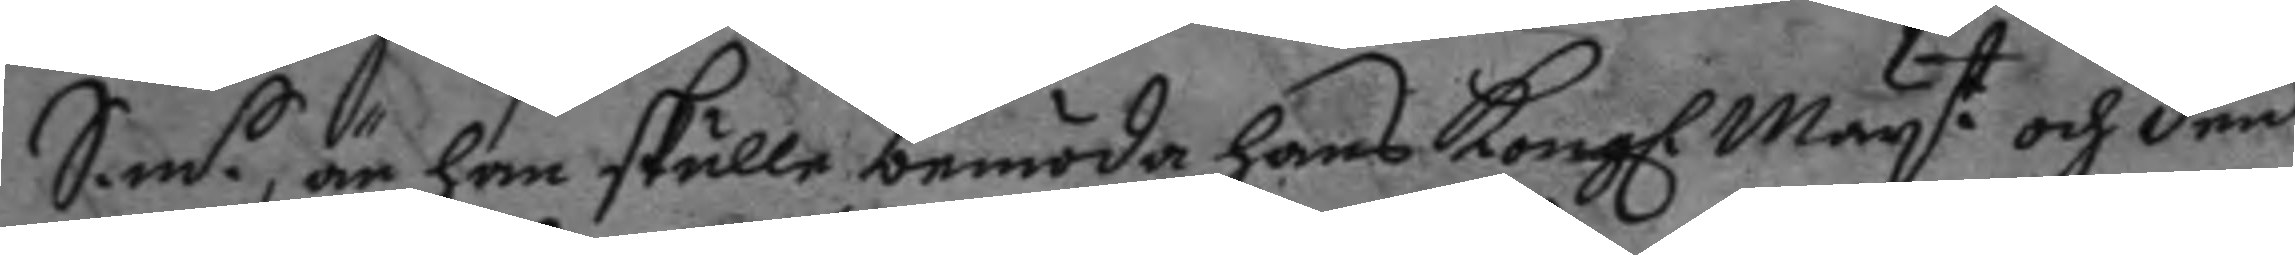S.m.t, än han skulle bemöda hans Kongl. May.t om den
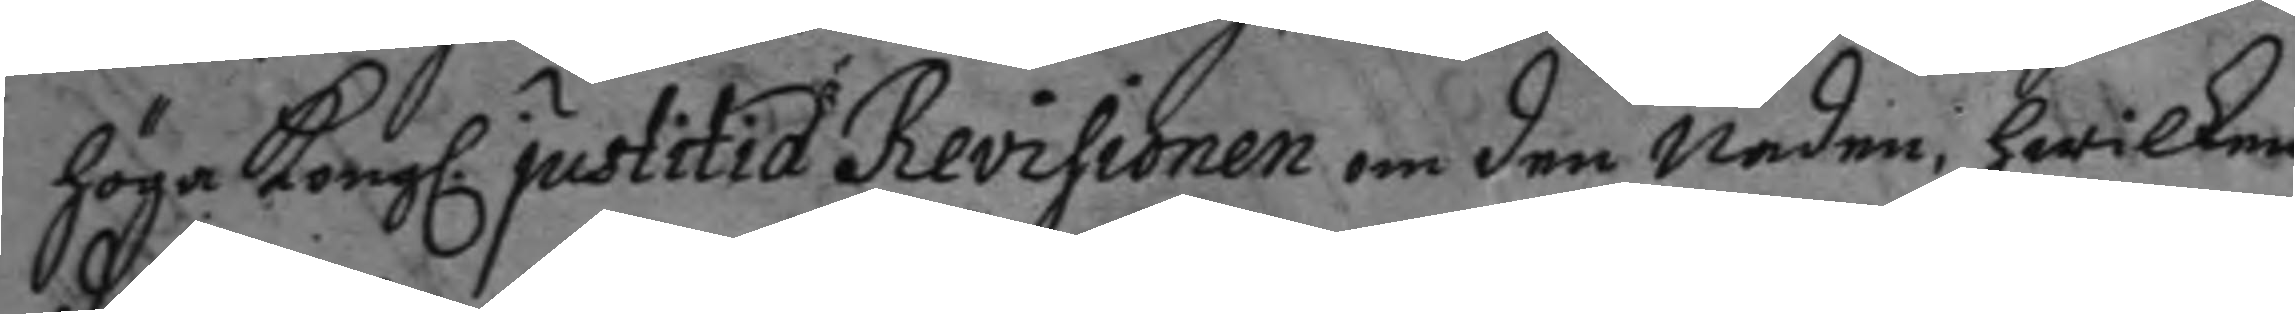höga Kongl. justitia Revisionen om den Nåden, hwilken
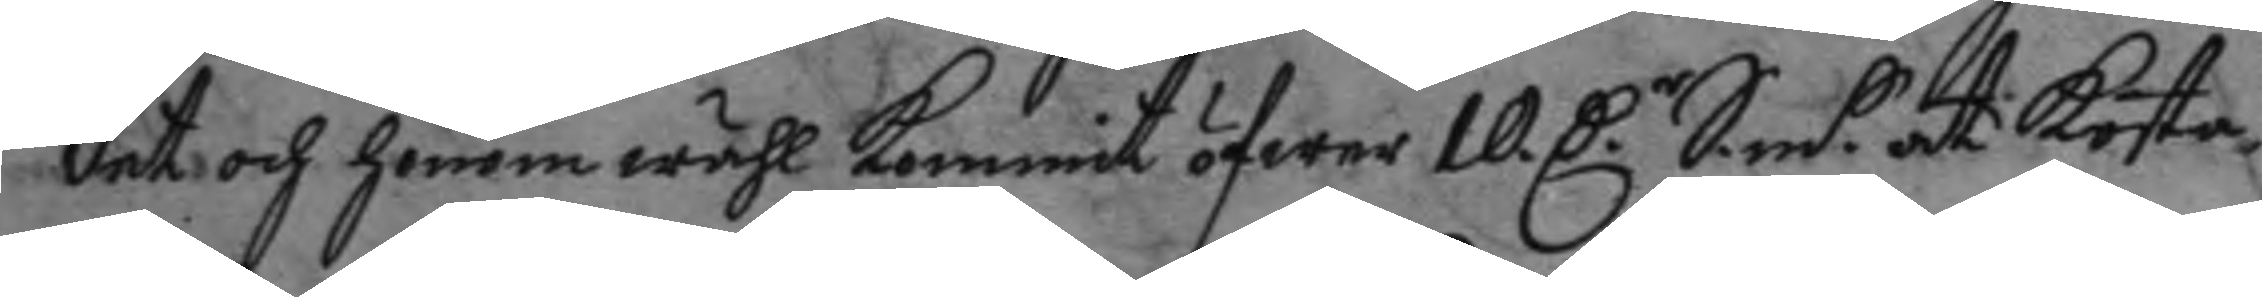det och honom wähl kommit öfwer 10 C.r S.m.t at kosta
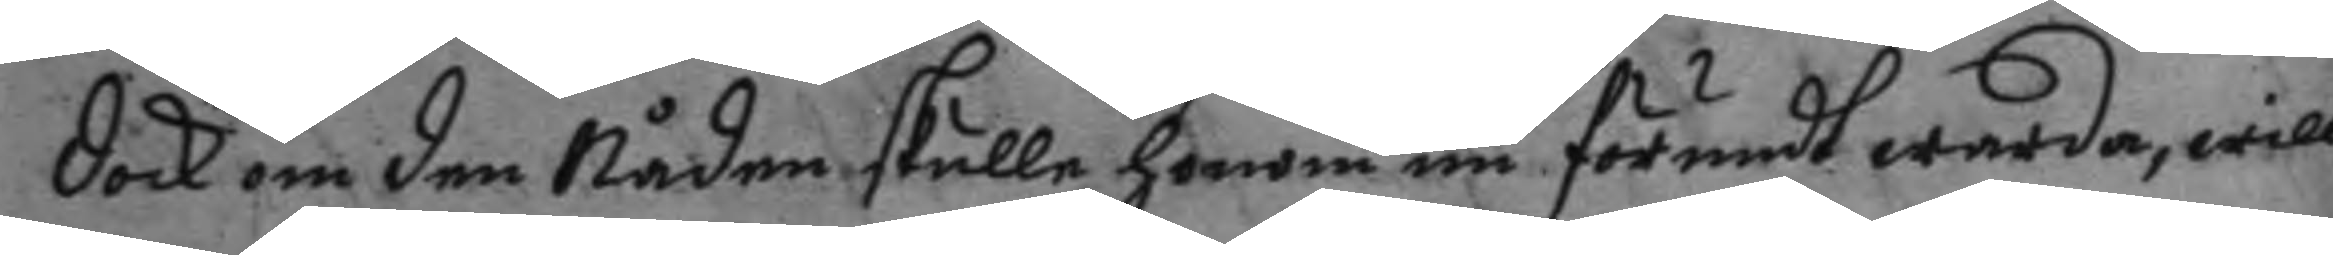dock om den Nåden skulle honom än förmedt warda, will
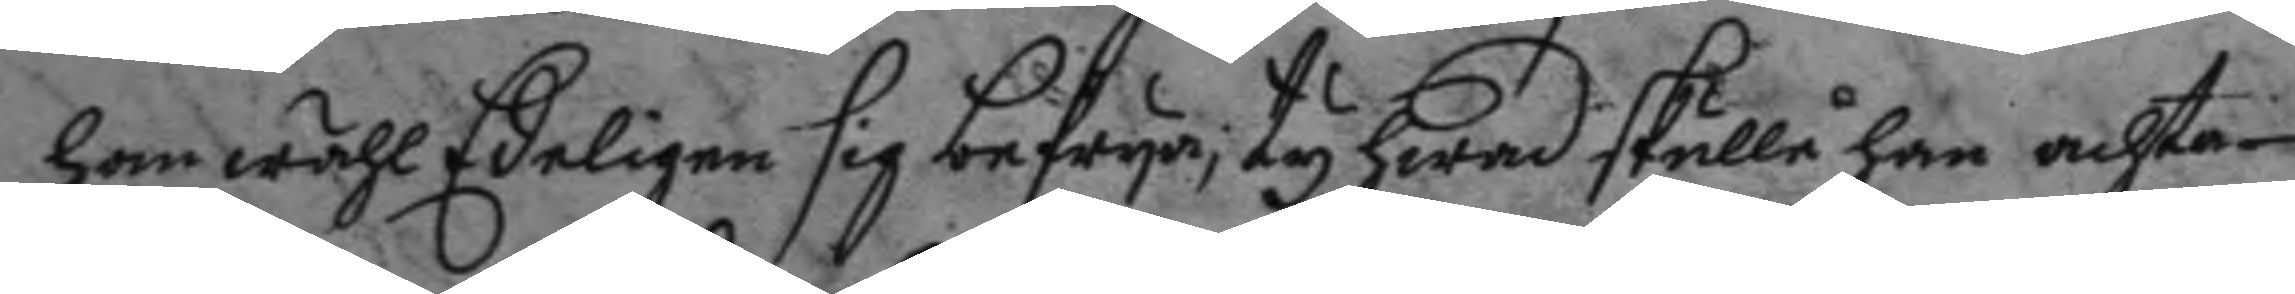han wähl Edeligen sig befrya, ty hwad skulle han achta
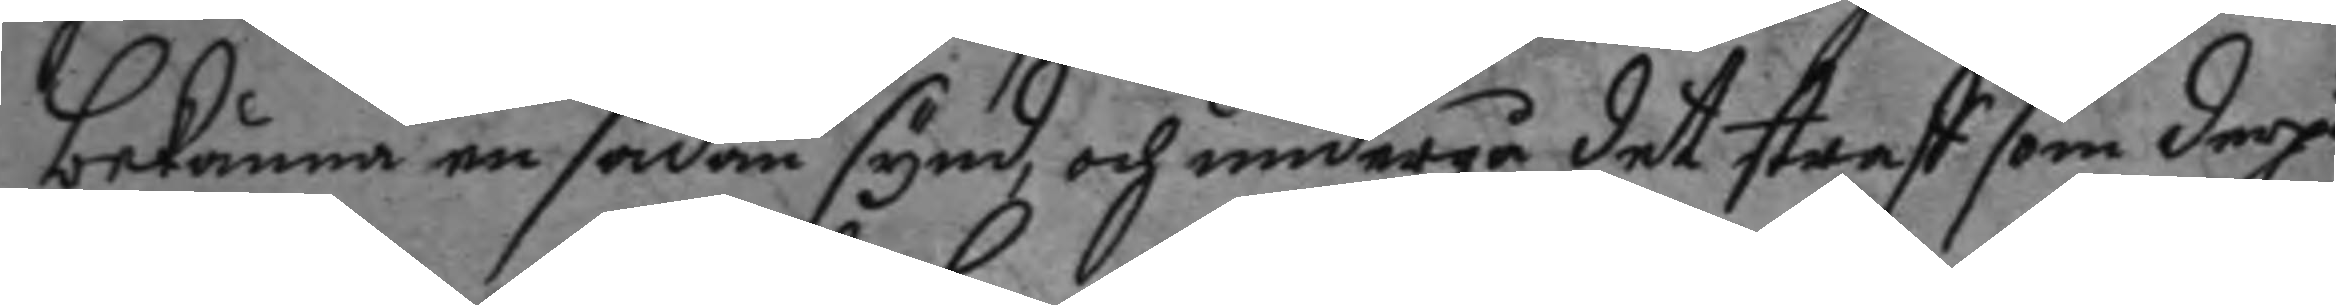bekänna en sådan synd, och undergå det straff som derpå
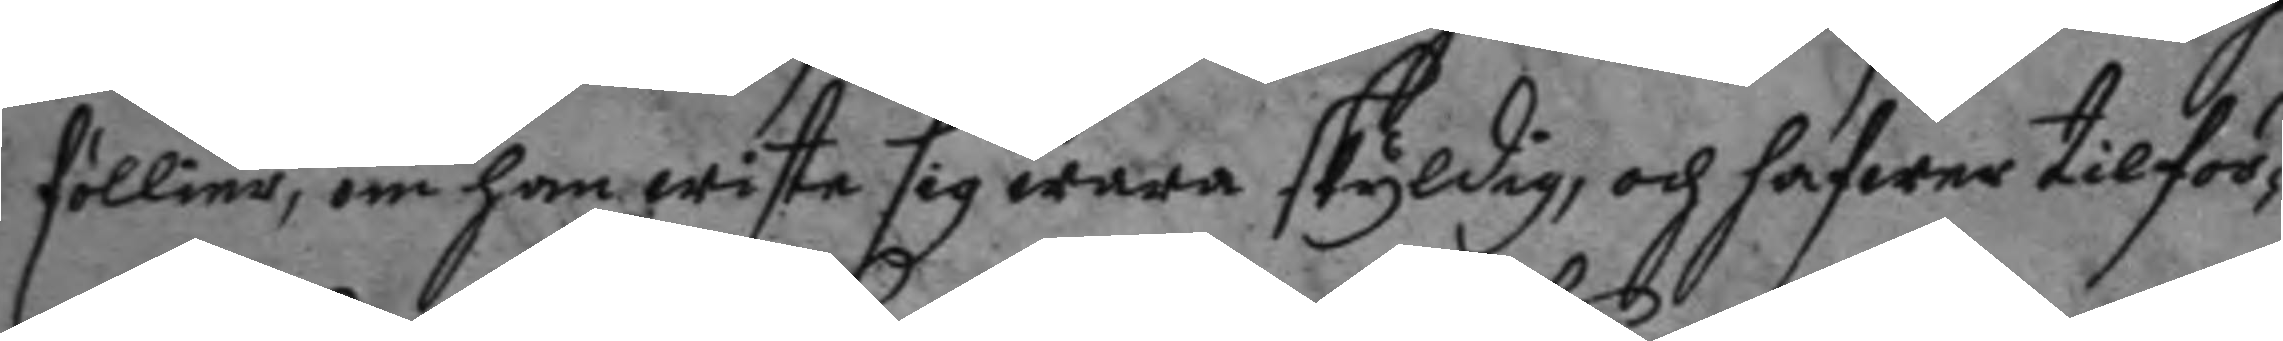föllier, om han wiste sig wara skyldig, och hafwer tilför¬
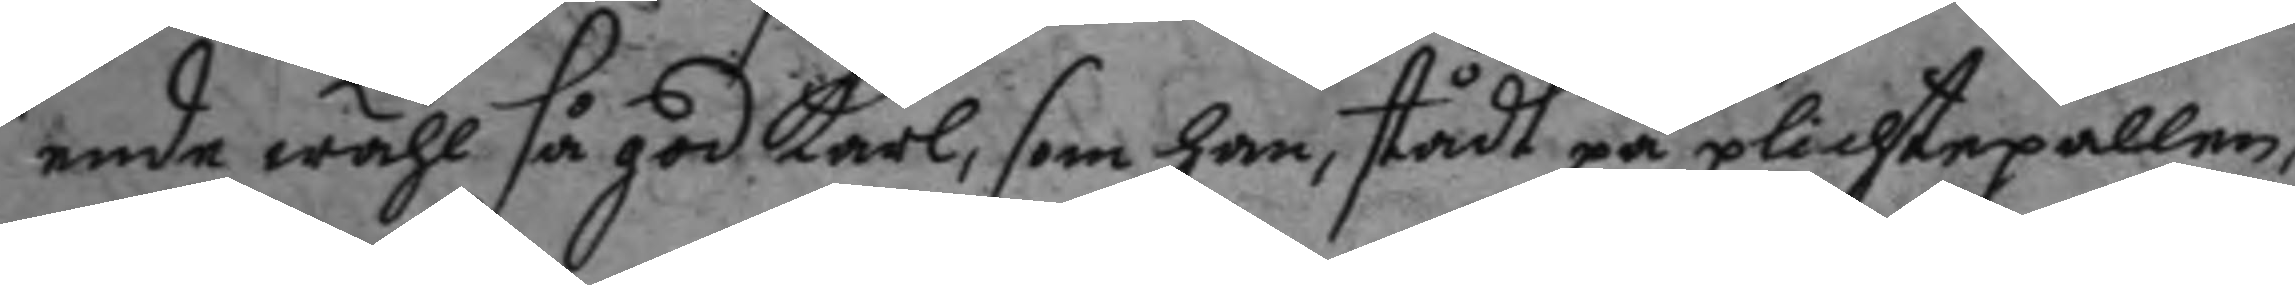ende wähl så god karl, som han, stådt på plichtpallen,
